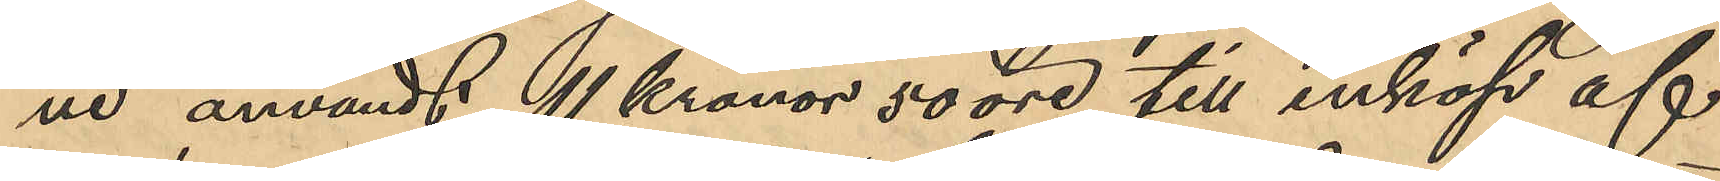ne användt 11 kronor 50 öre till inköp af
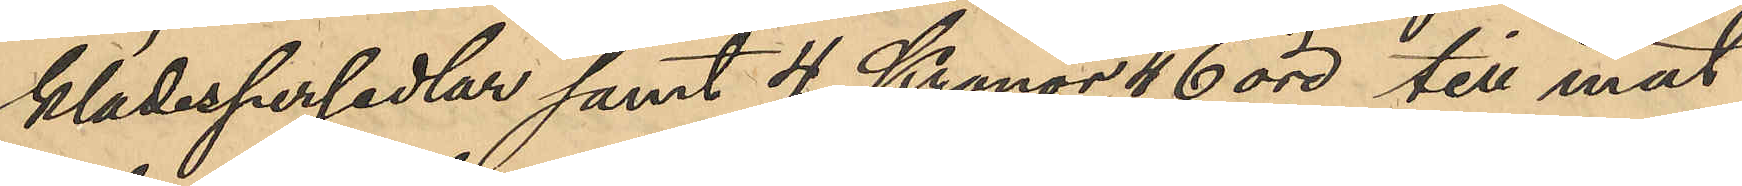klädespersedlar samt 4 Kronor 46 öre till mat
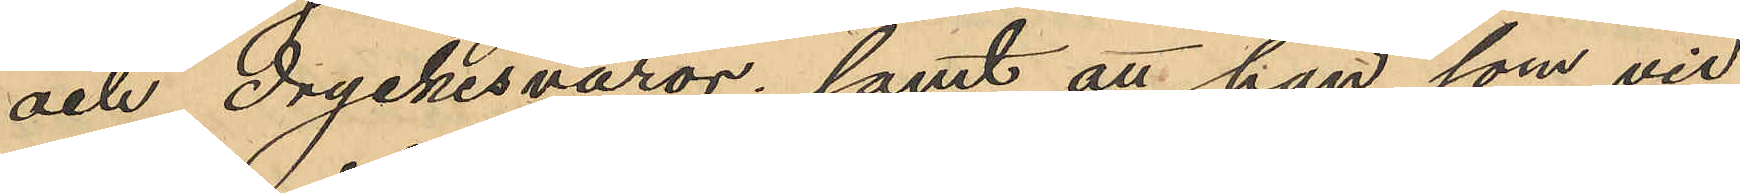och dryckesvaror; samt att han som vid
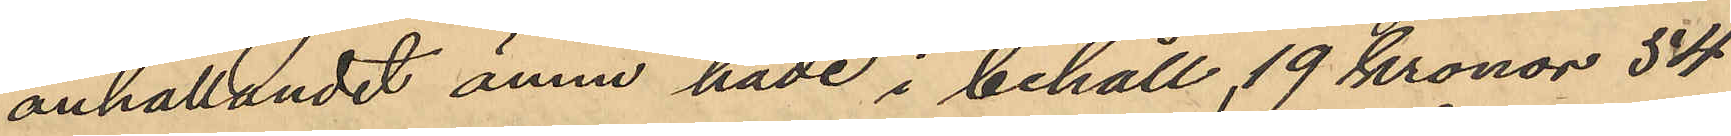anhållandet ännu hade i behåll 19 kronor 54
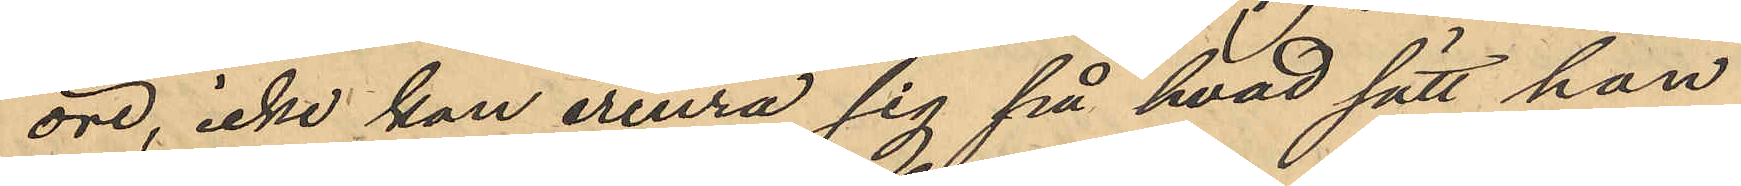öre, icke kan erinra sig på hvad sätt han
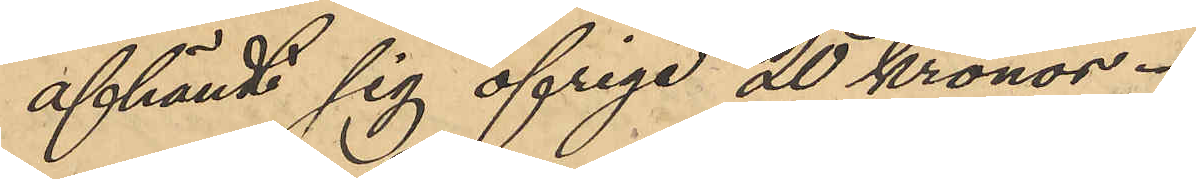afhändt sig öfriga 20 kronor.
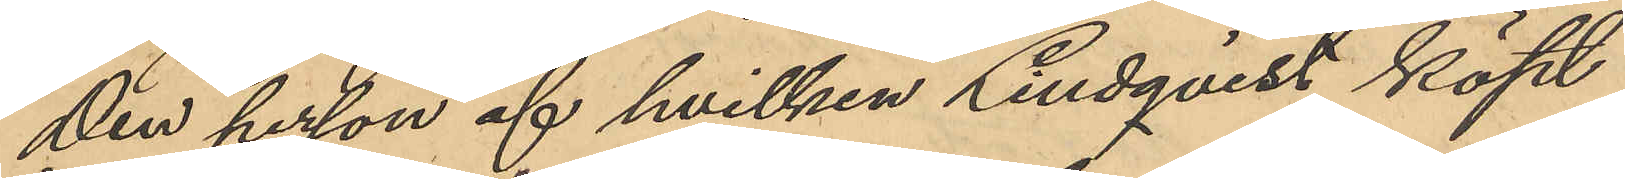Den person af hvilken Lindqvist köpt
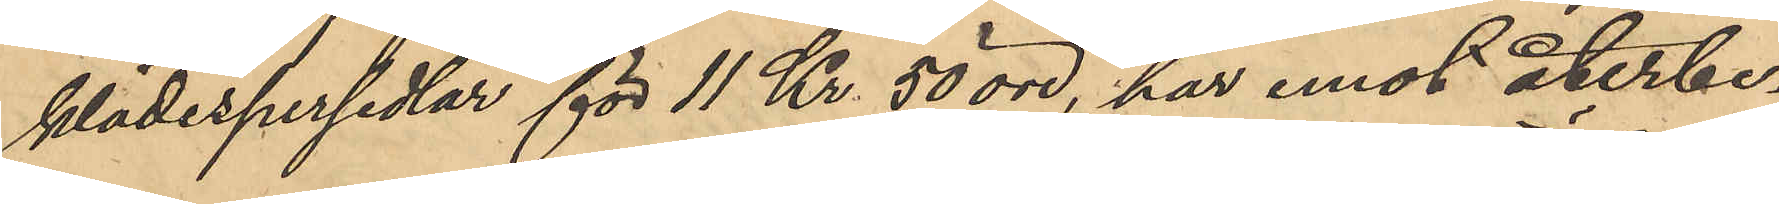klädespersedlar för 11 Kr. 50 öre, har emot återbe¬
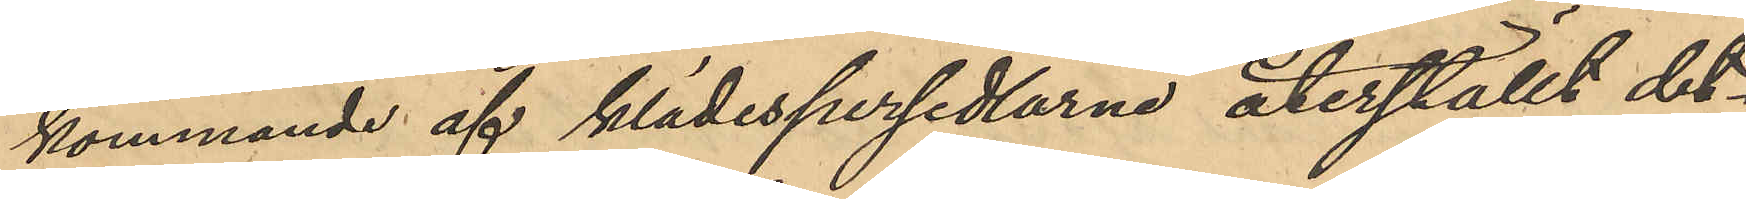kommande af klädespersedlarne återställt det¬
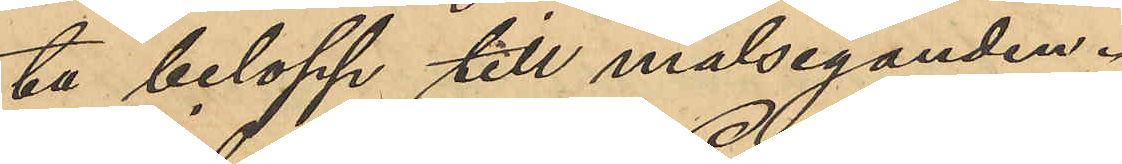ta belopp till målseganden.
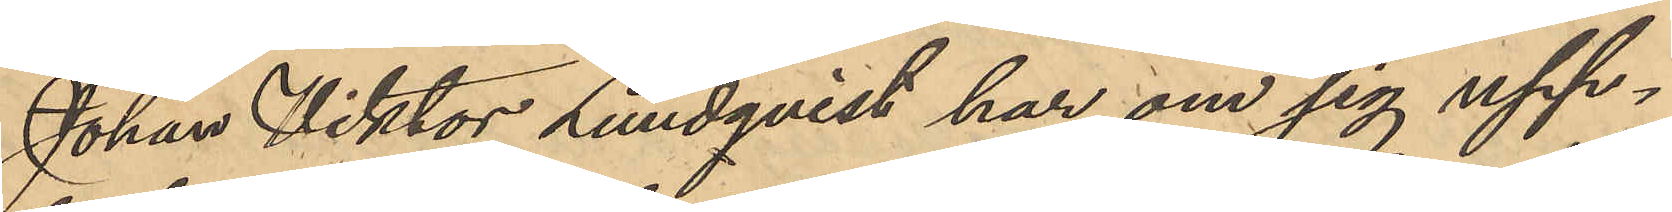Johan Viktor Lundqvist har om sig upp¬
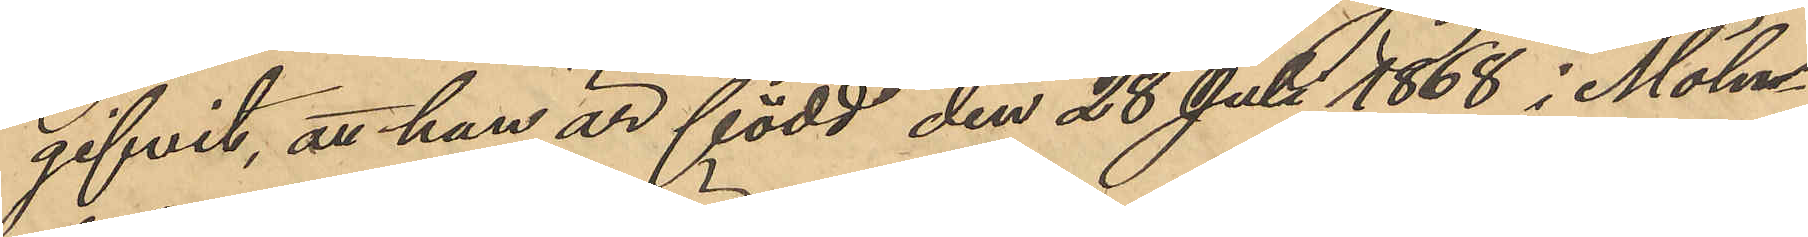gifvit, att han är född den 28 Juli 1868 i Möln¬
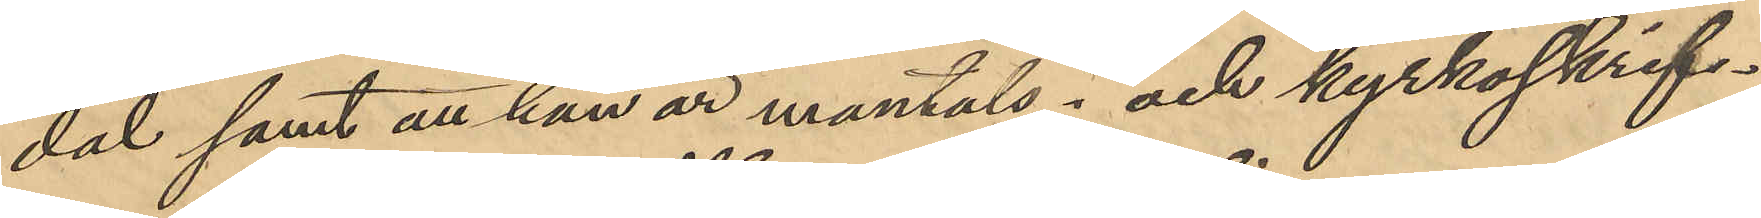dal samt att han är mantals- och kyrkoskrif¬
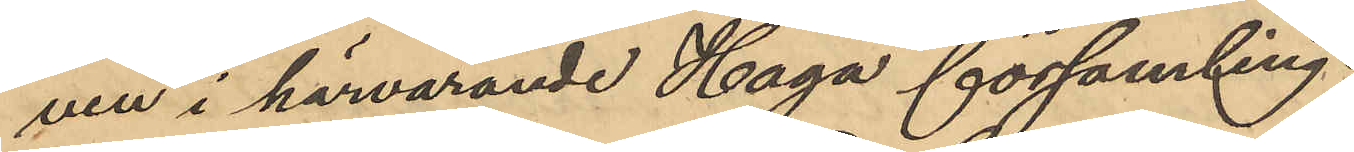ven i härvarande Haga församling.
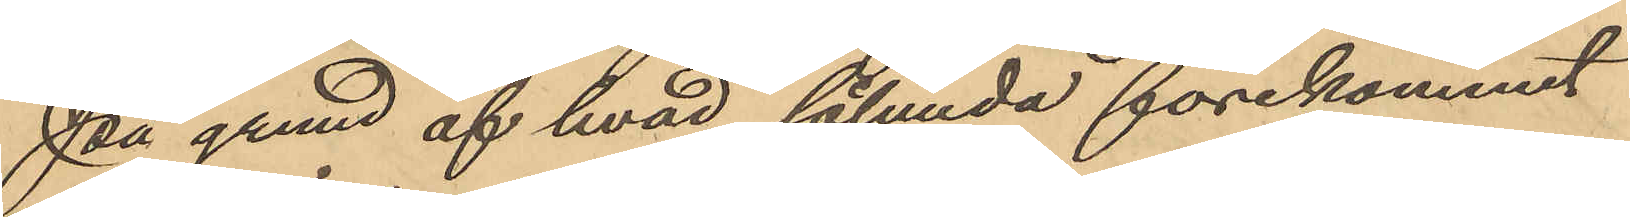På grund af hvad sålunda förekommit
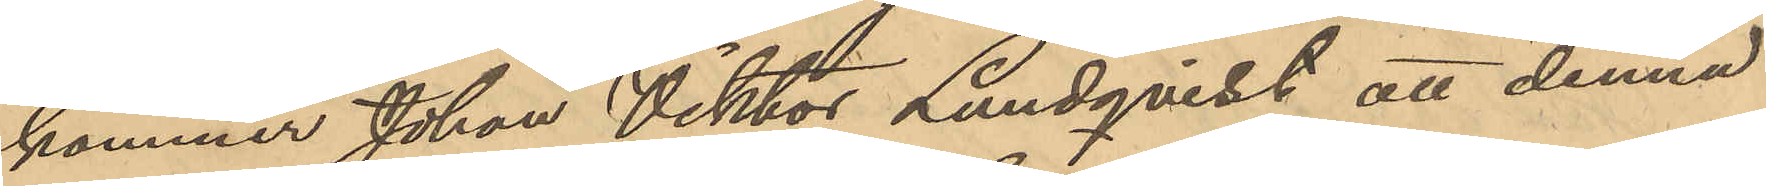kommer Johan Viktor Lundqvist att denna
